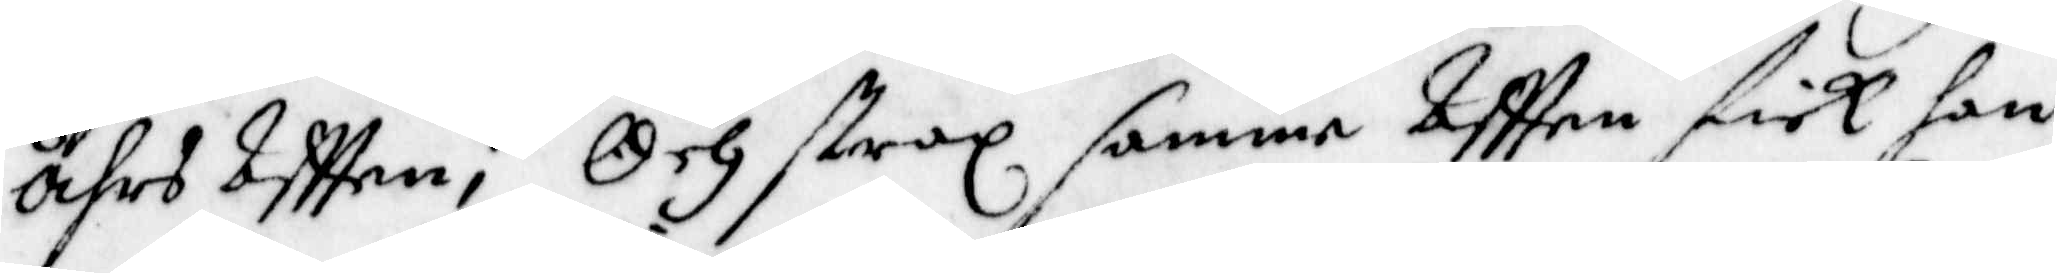åhrs Aftten; Och strax samme Aftten fick han
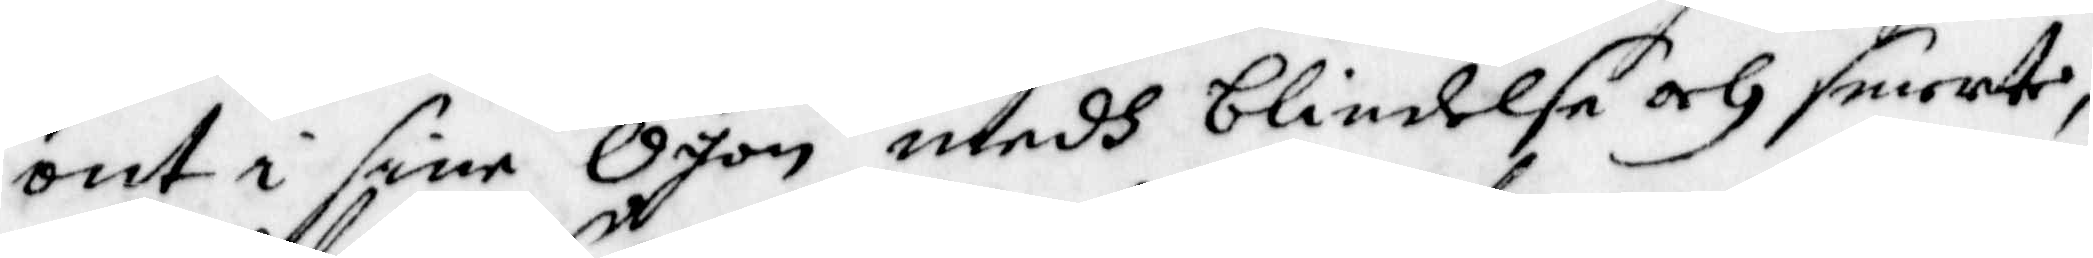ont i sine Ögon medh blindelse och smerte,
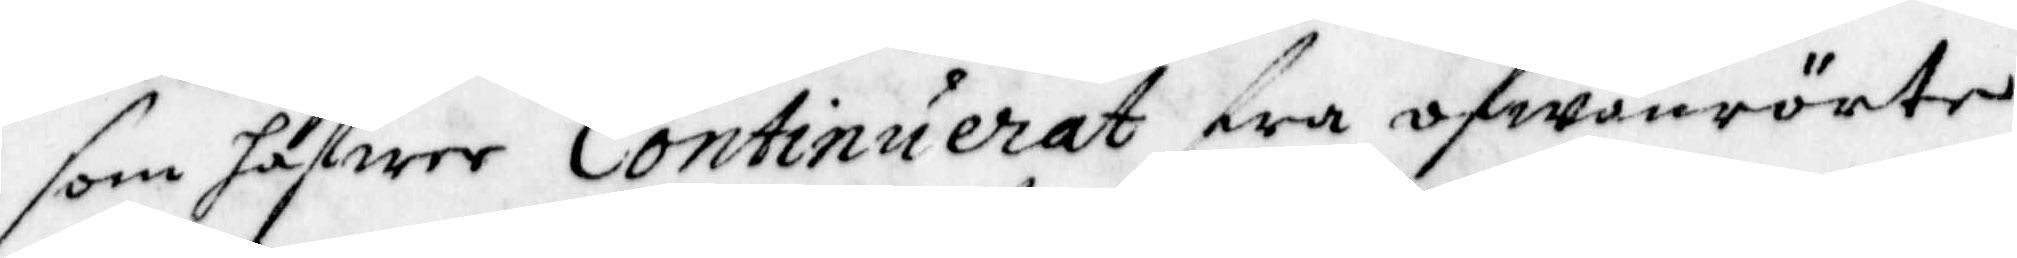som hafwer Continuerat fra ofwanrörte
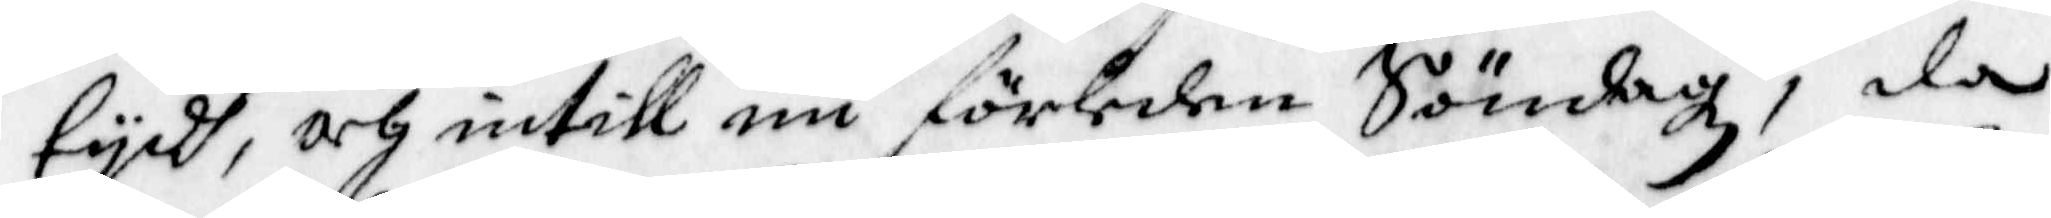tydh, och intill nu förleden Söndagz, da
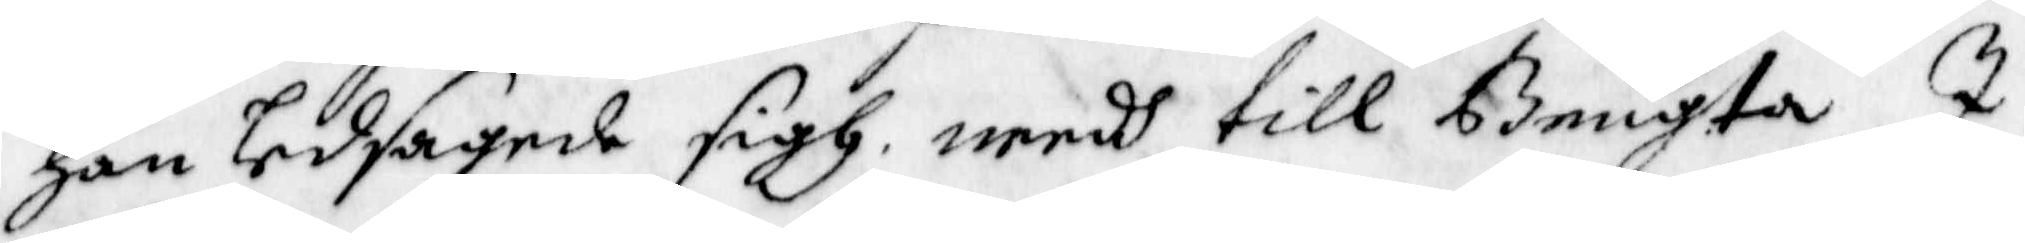han ledsagede sigh needh till Bengta I
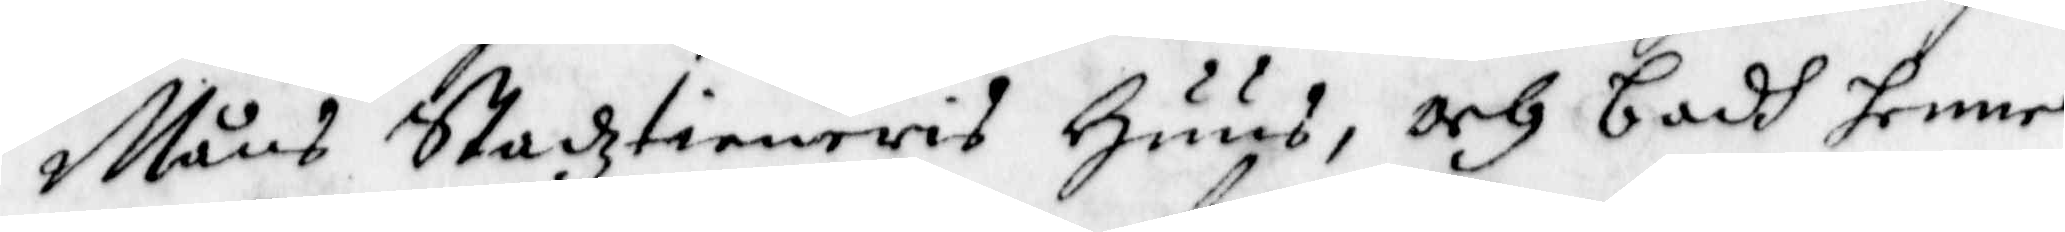Måns Stadztienaris Huus, och badh henne
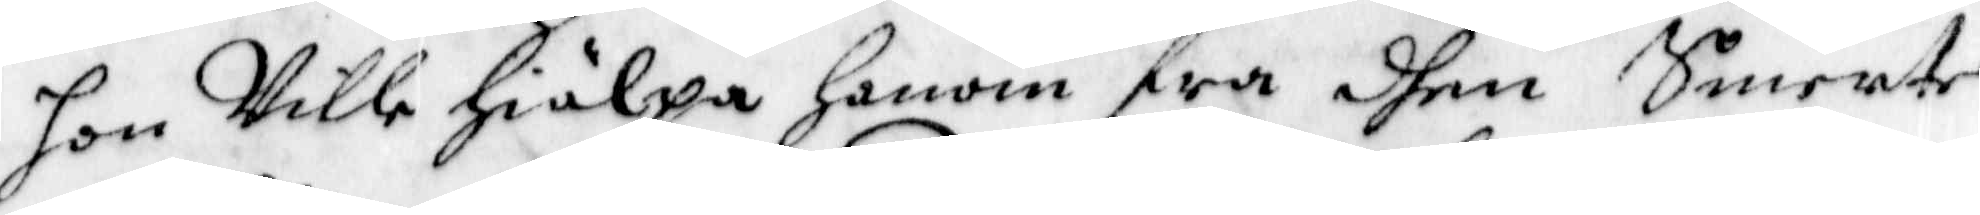hon Ville hiälpa honom fra dhen Smerte
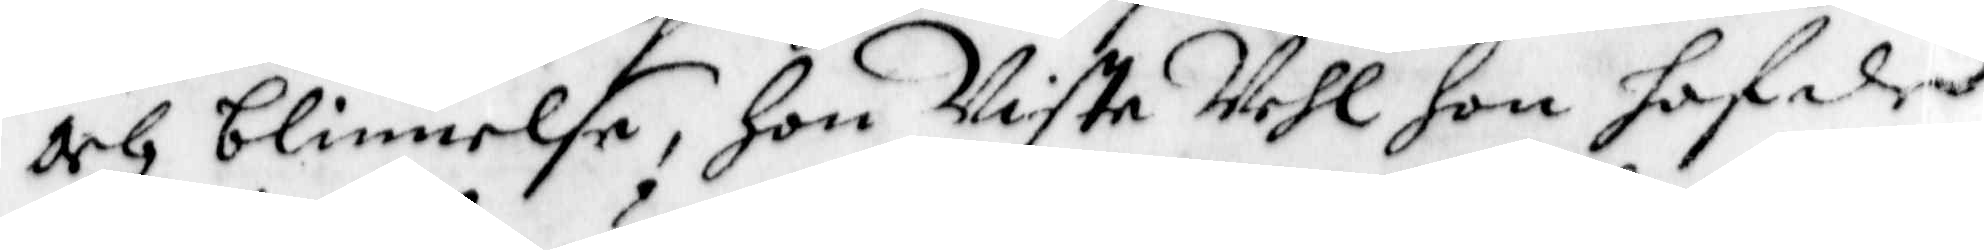och blinnelse, Hon Viste Vehl hon hafde
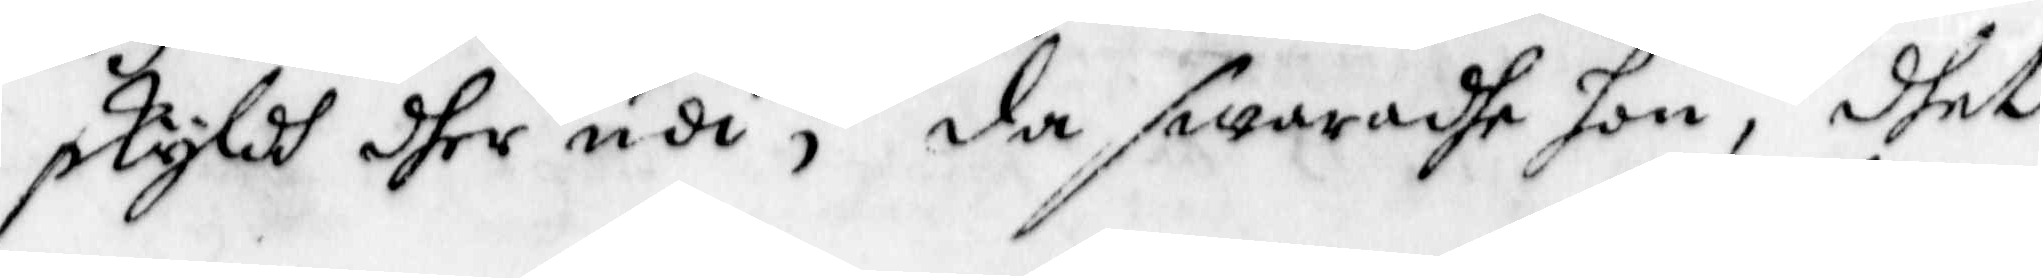skyldh dher udi; da, swaradhe hon, dhet
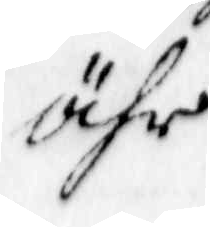ähr
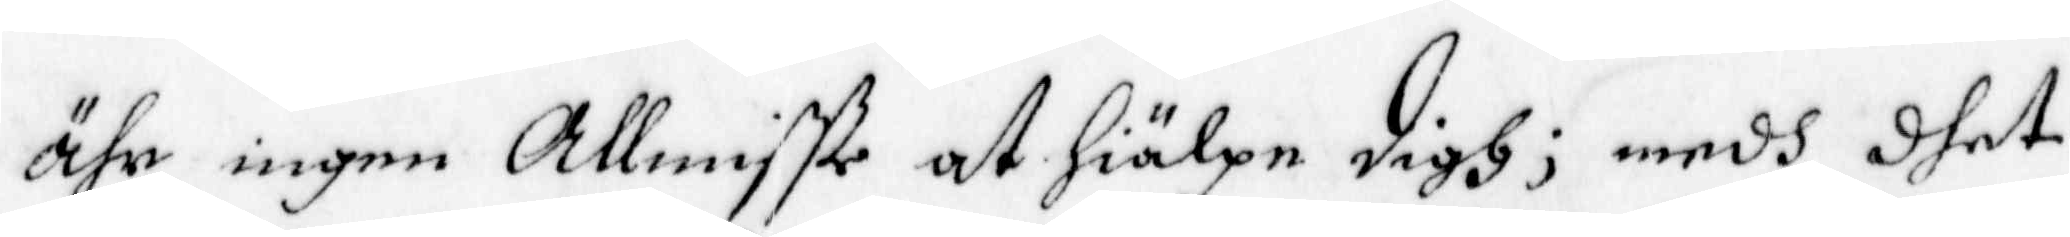ähr ingen Allmisste at hiälpa Digh; medh dhet
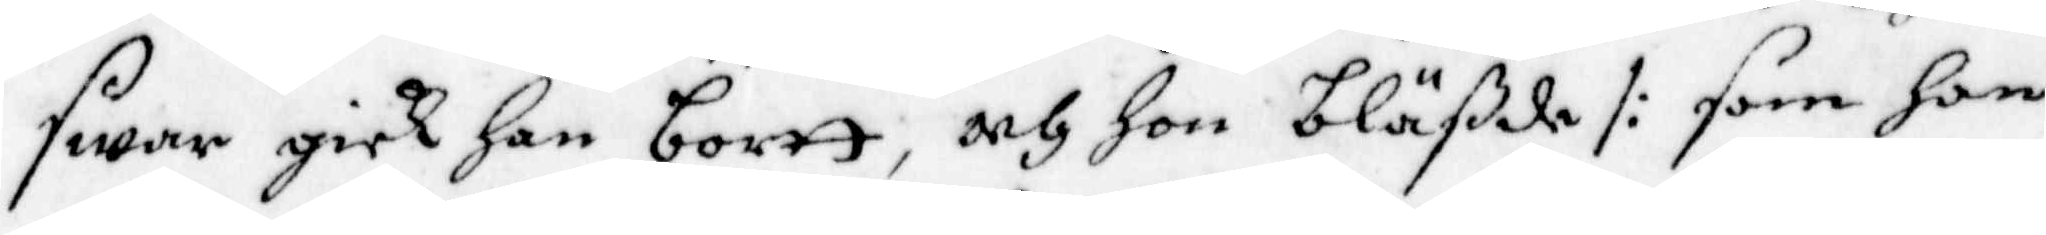swar gick han bortt, och hon bläßde /: som hon
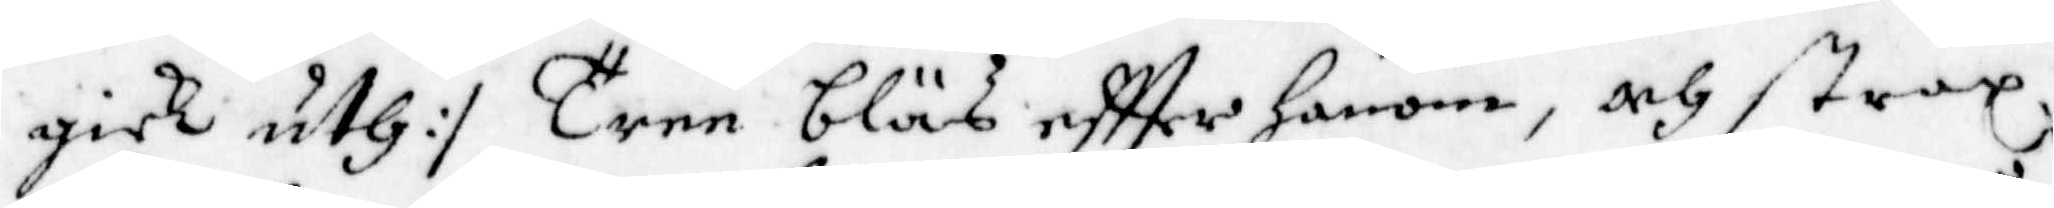gick uth :/ Tree bläs eftter honom, och strax
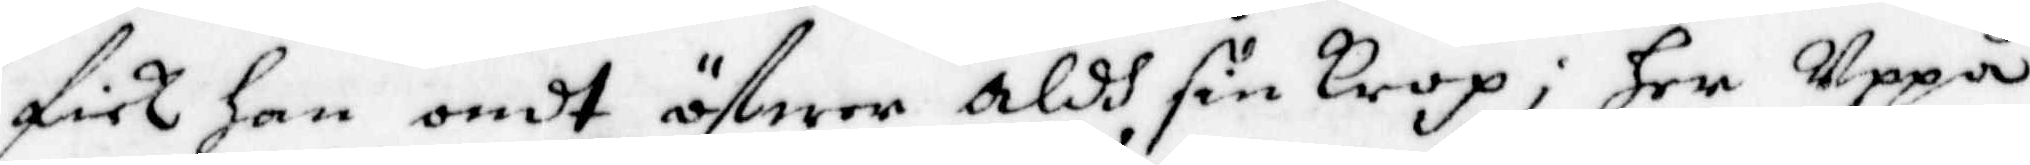fick han ondt öfwer aldh sin Krop; her Uppå
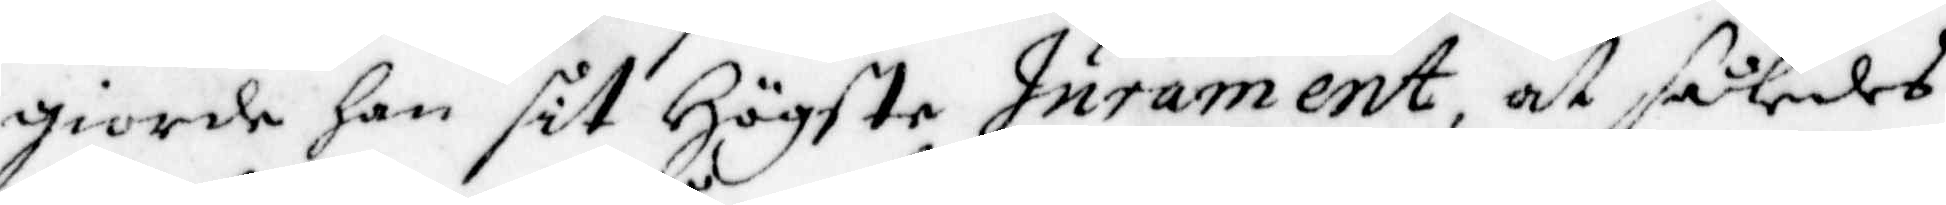giorde han sit Högste Jurament at således
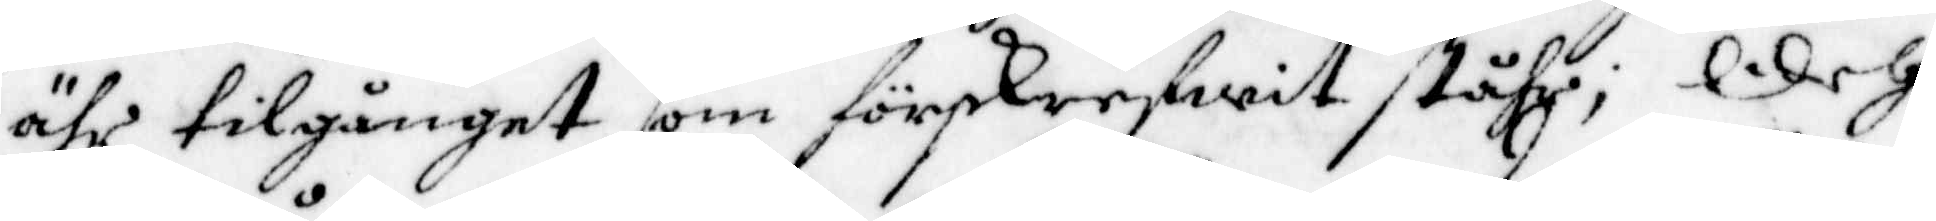ähr tillgånget som förskrefwit ståhr; Och
